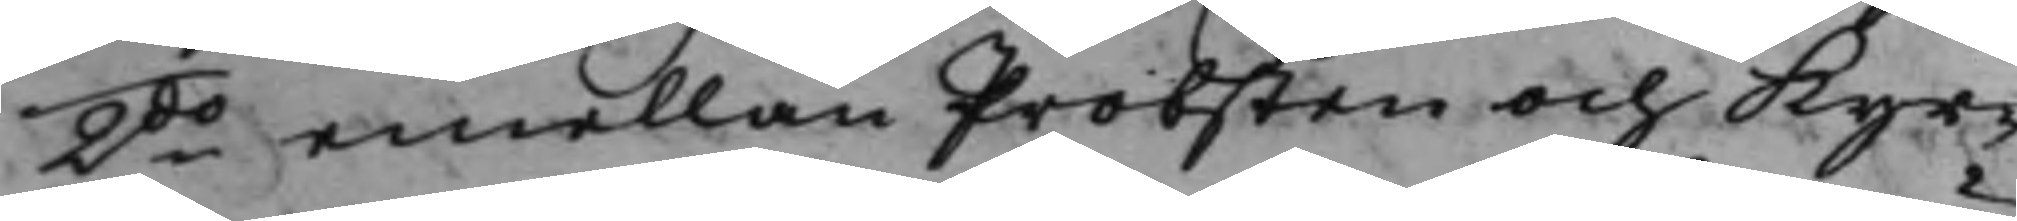2do emellan Probsten och Kyr¬
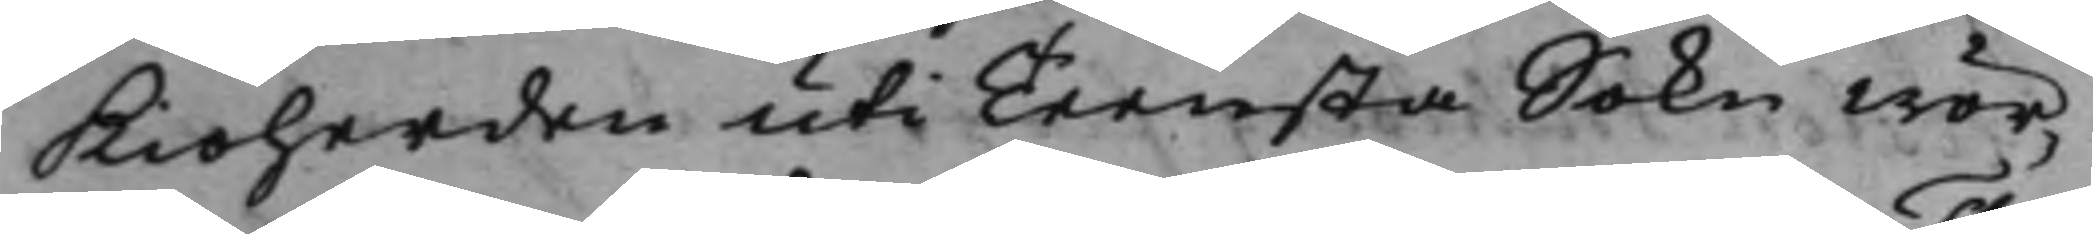kioherden uti Teensta Sokn Wör¬
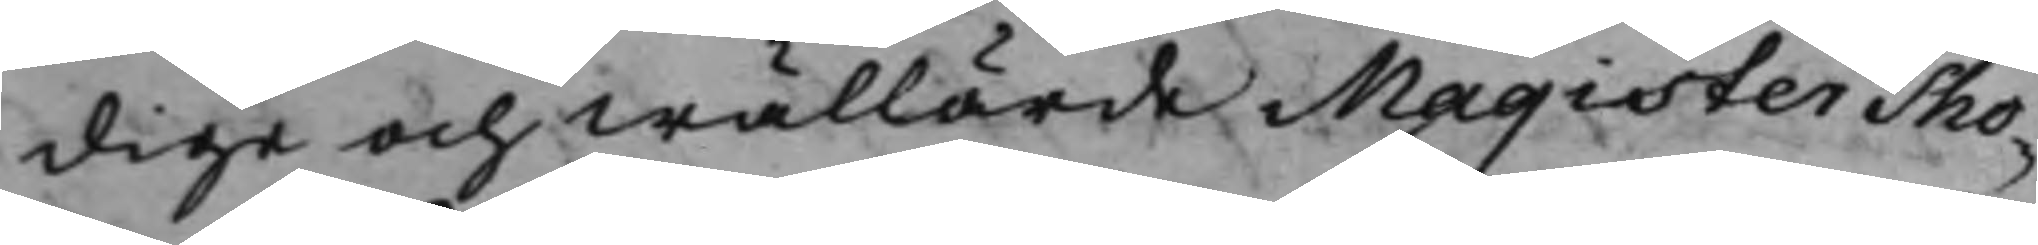dige och Wällärde Magister Tho¬
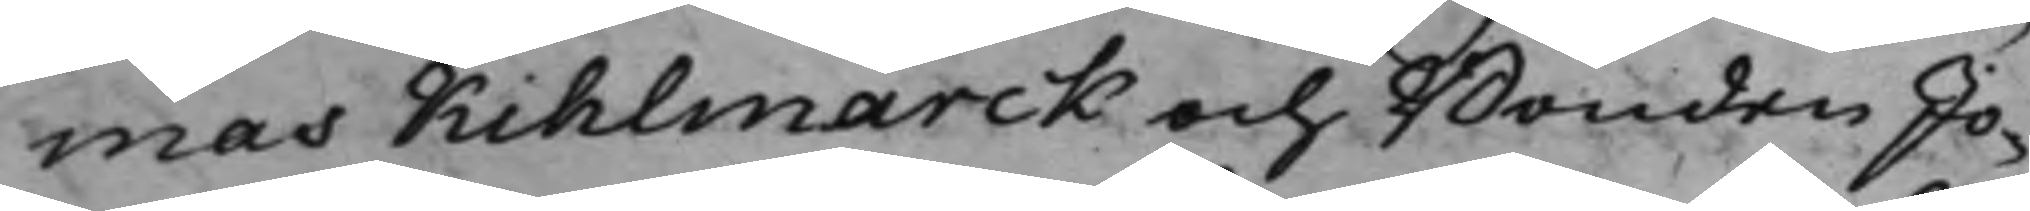mas Kihlmarck och Bonden Jo¬
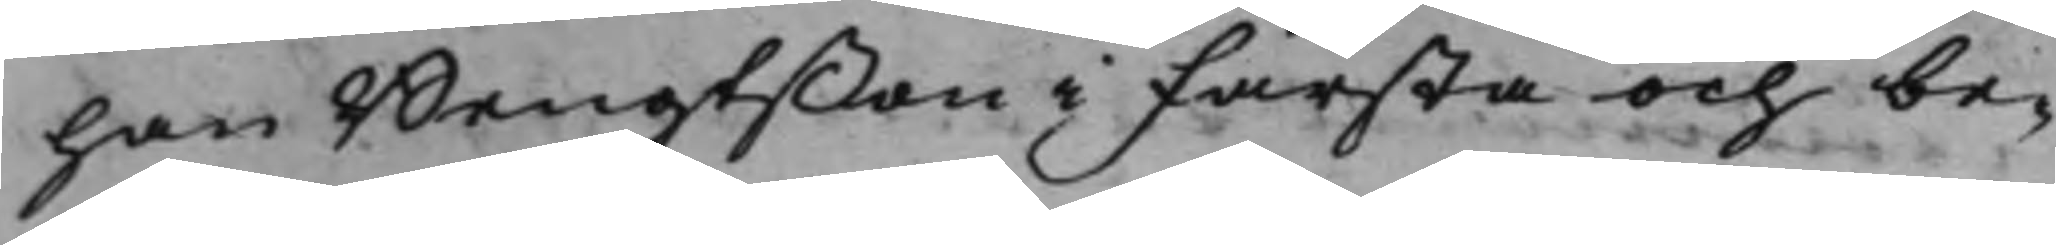han Bengtßon i Farsta och be¬
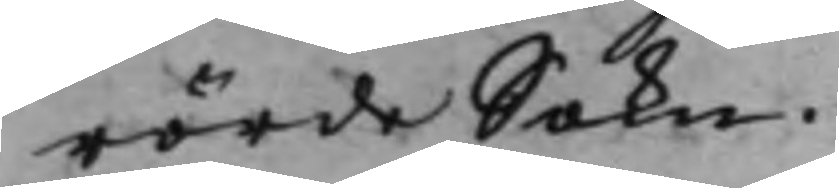rörde Sokn.
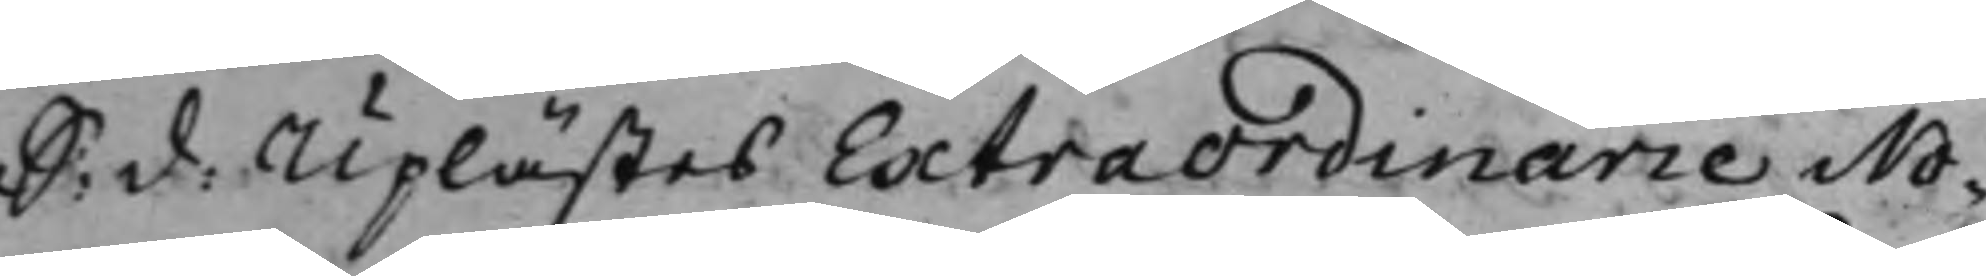S: d: Uplästes ExtraOrdinarie No¬
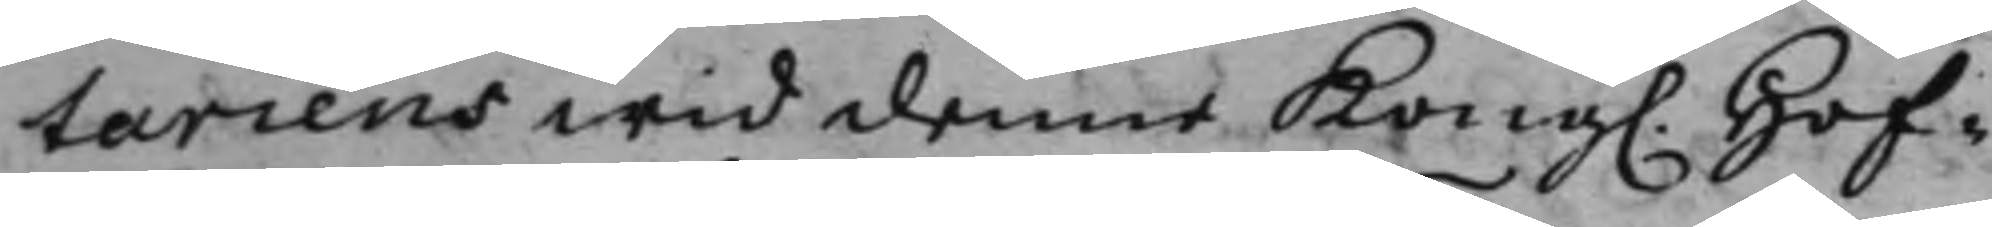tarien wid denne Kong. Hof¬
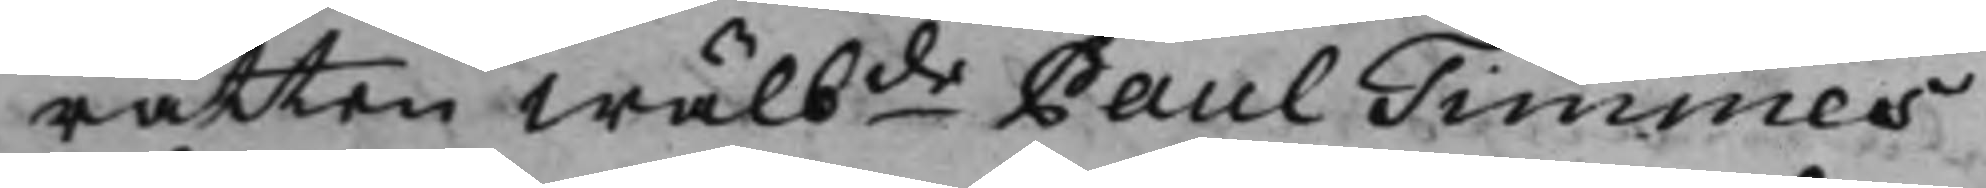rätten Wälbde Paul Timmes
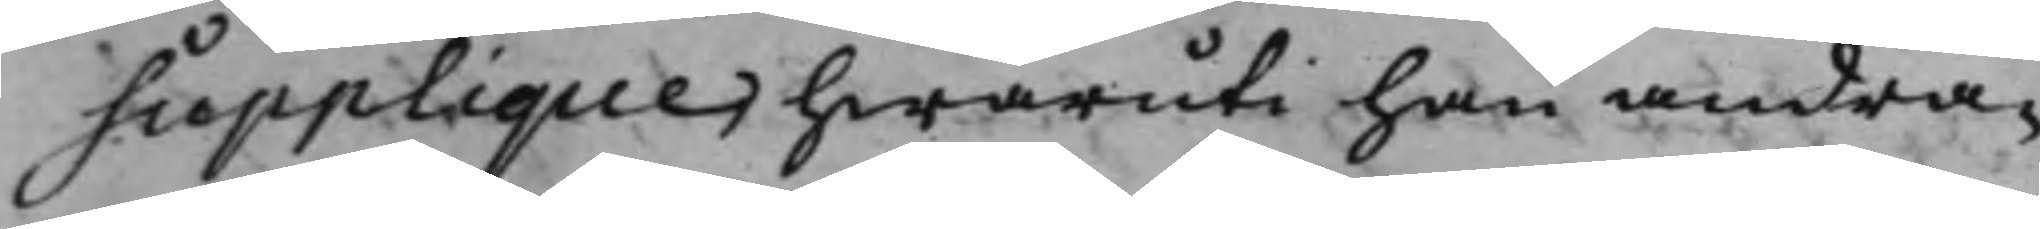Supplique hwaruti han andra¬
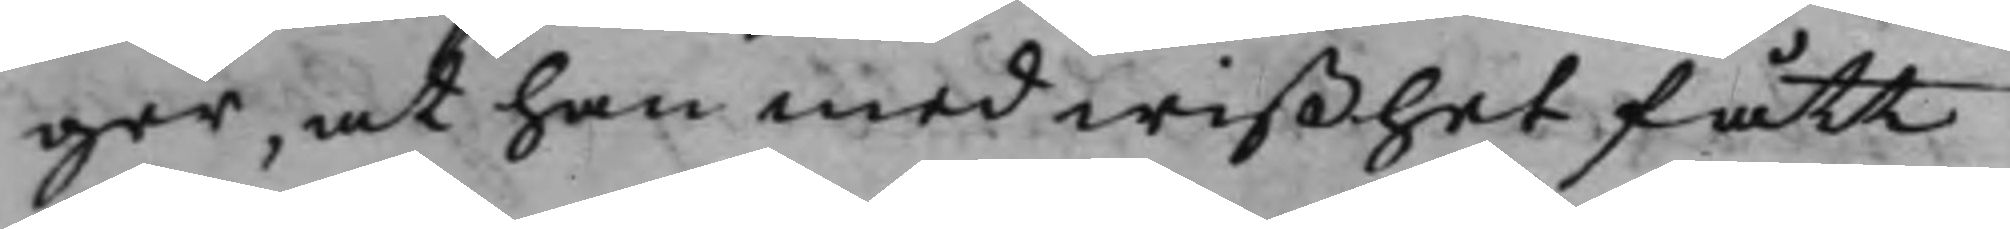ger, at han med wißhet fått
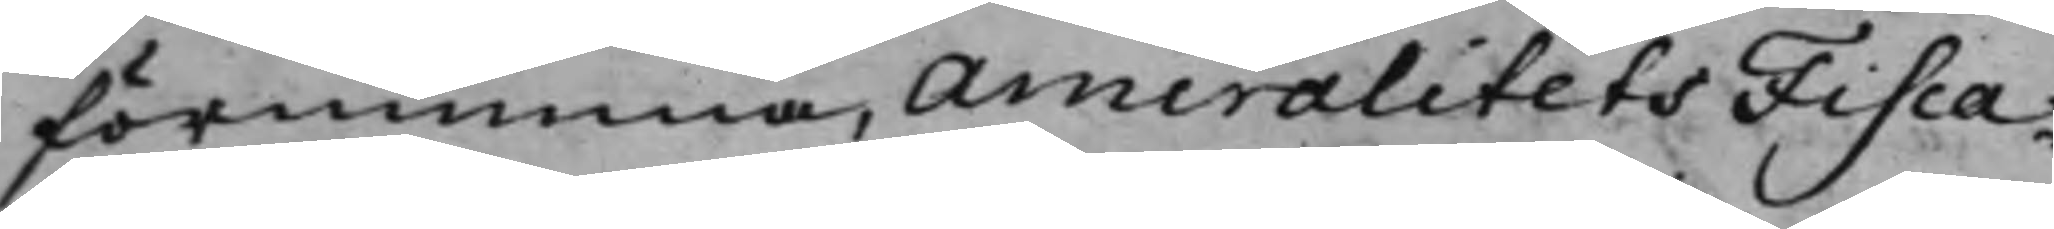förnimma, AmiralitetsFisca¬
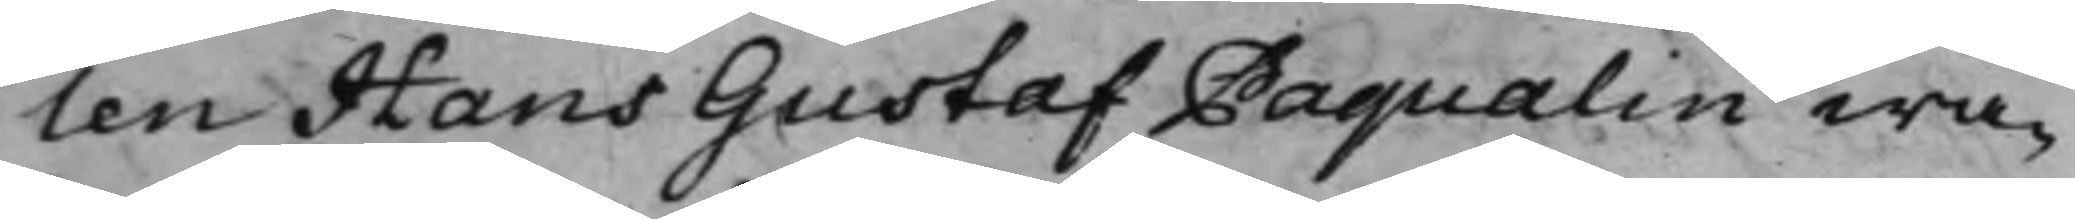len Hans Gustaf Paqualin wa¬
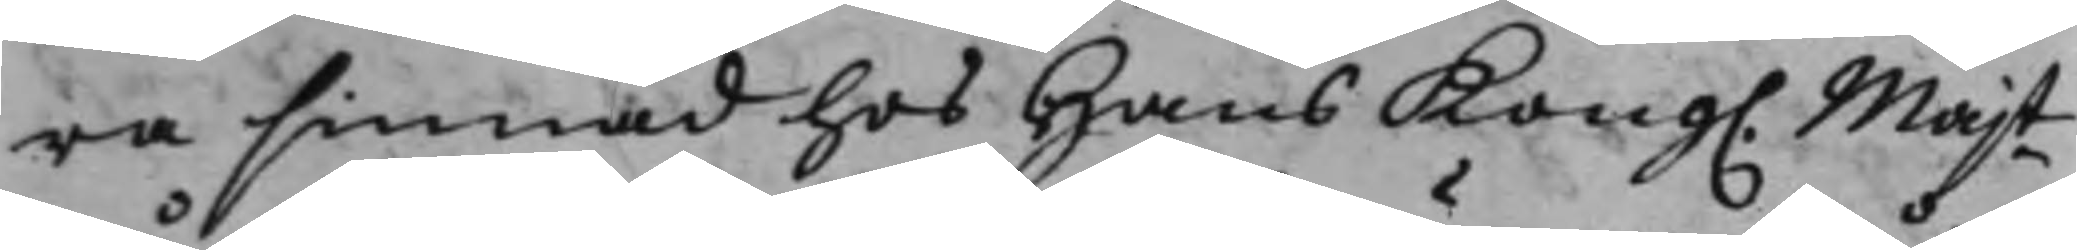ra sinnad hos Hans Kong. Majt
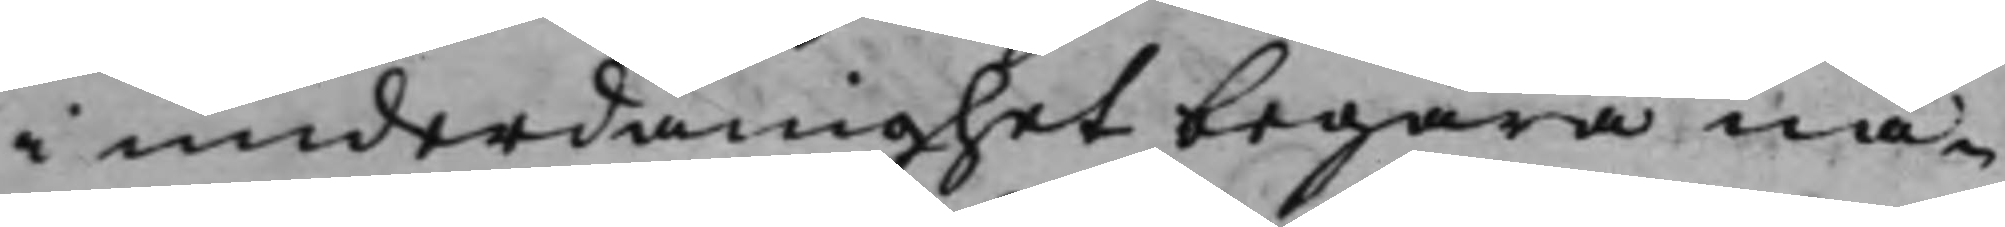i underdånighet begära nå¬
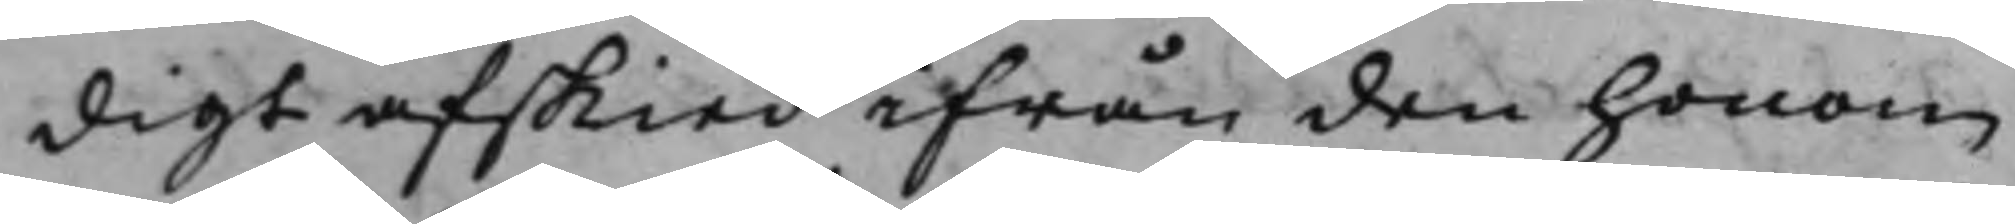digt afskied ifrån den honom
